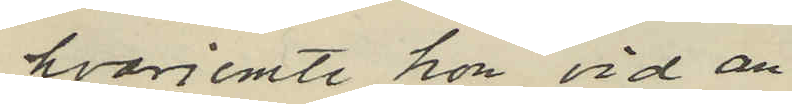hvarjemte hon vid an¬
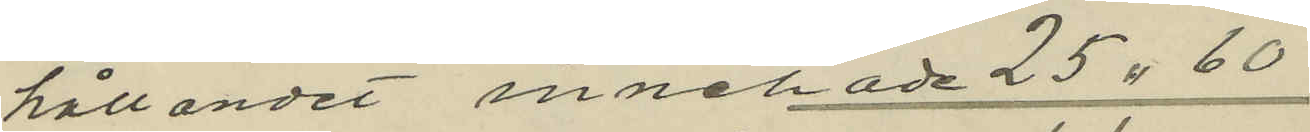hållandet innehade 25 " 60
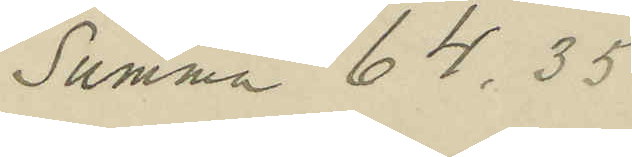Summa 64,35
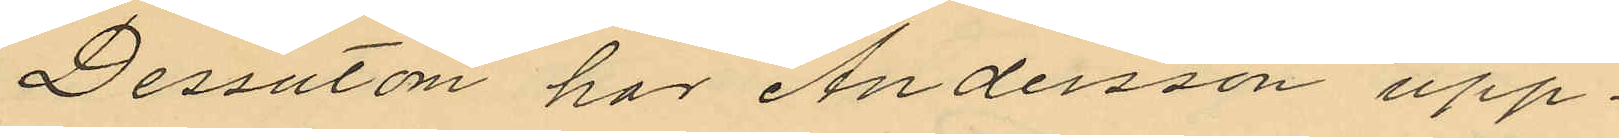Dessutom har Andersson upp¬
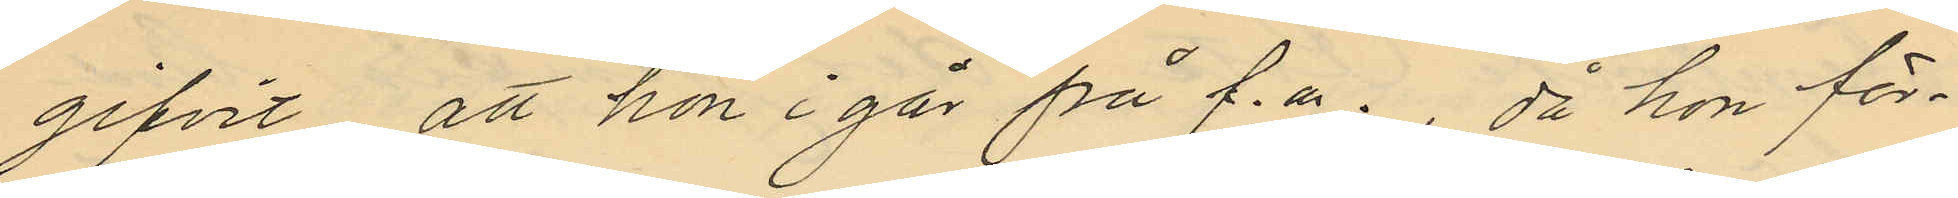gifvit att hon i går på f.m. då hon för¬
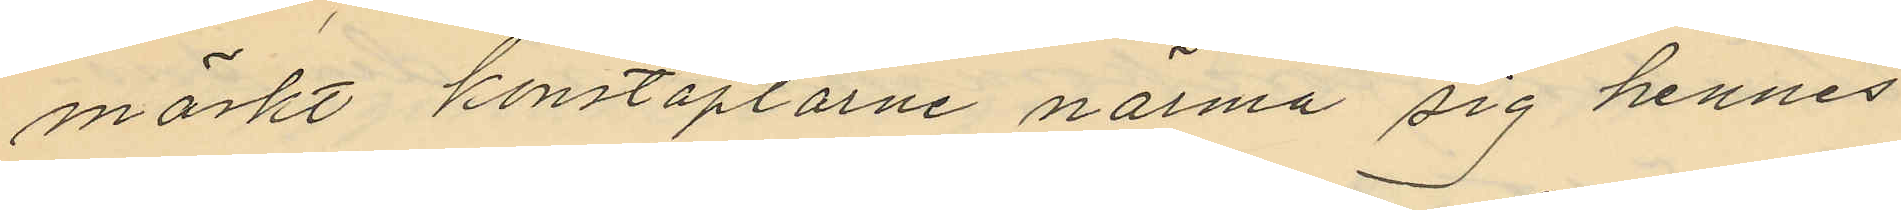märkt konstaplarne närma sig hennes
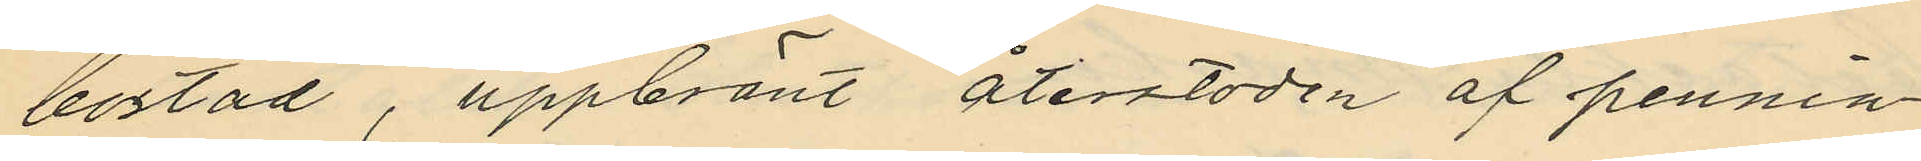bostad, uppbränt återstoden af pennin¬
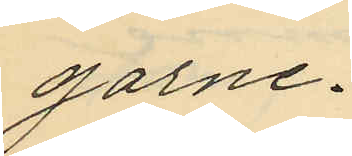garne.
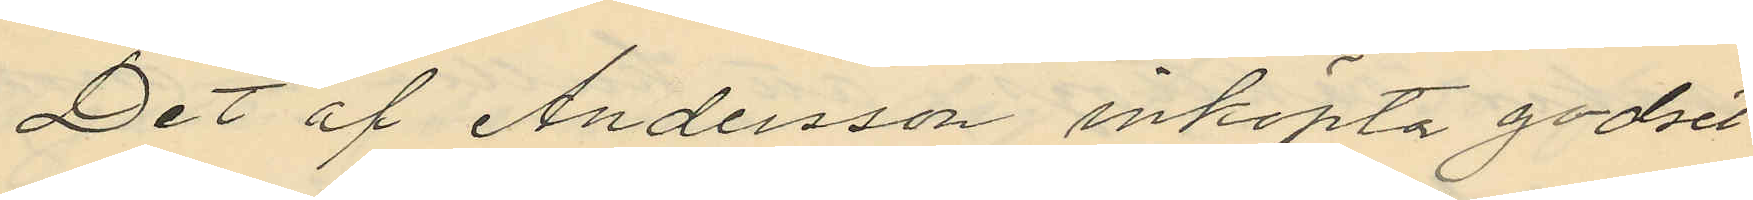Det af Andersson inköpta godset
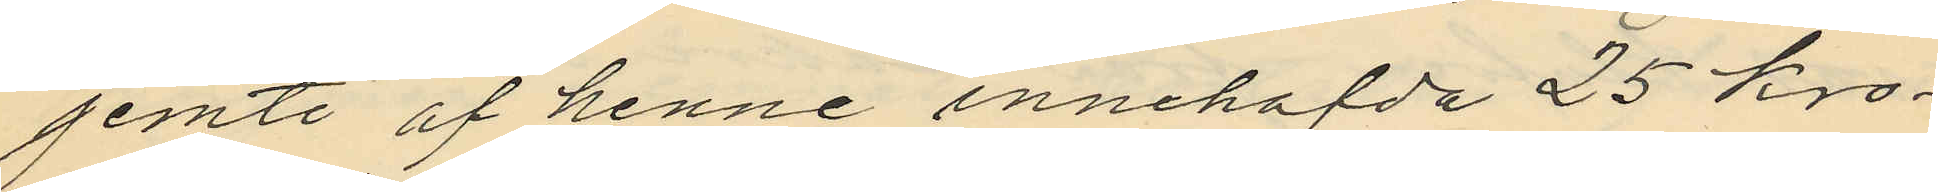jemte af henne innehafda 25 kro¬
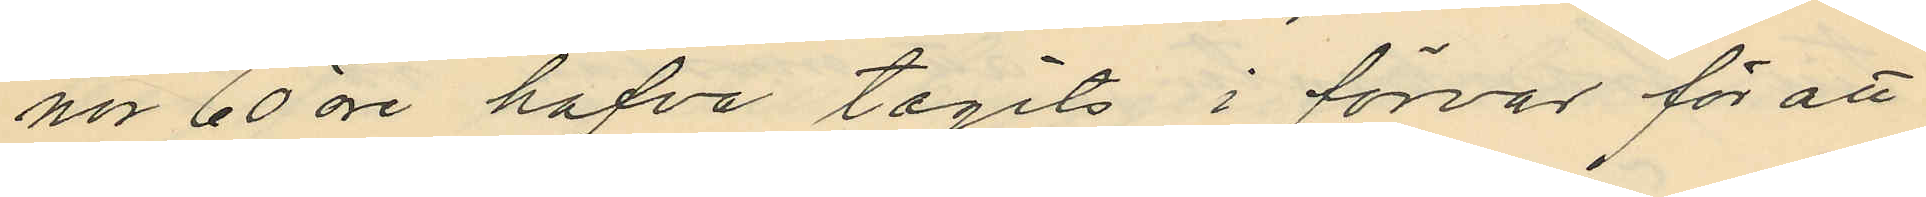nor 60 öre hafva tagits i förvar för att
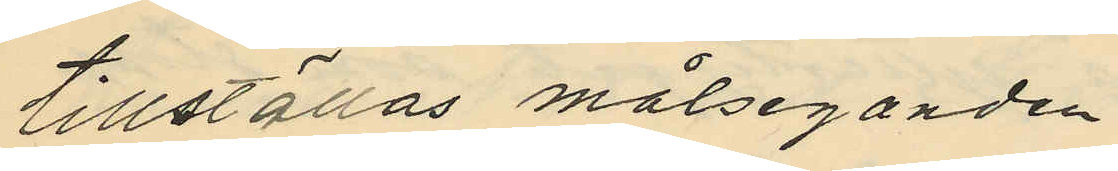tillställas målseganden.
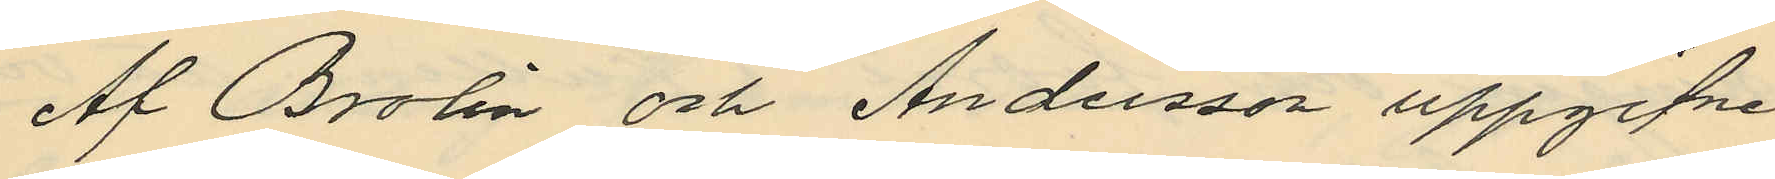Af Brolin och Andersson uppgifne
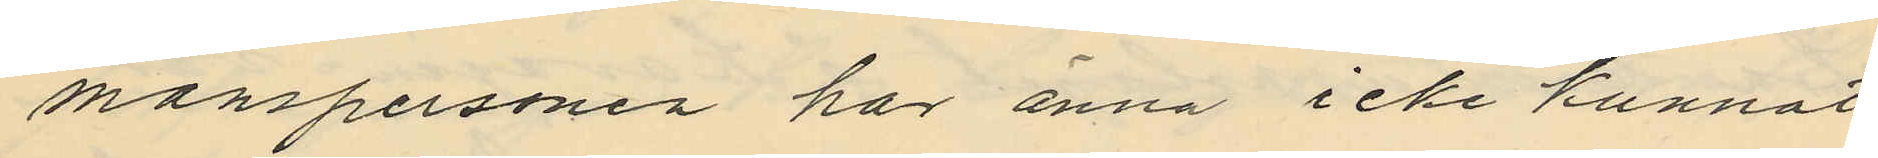manspersoner har ännu icke kunnat
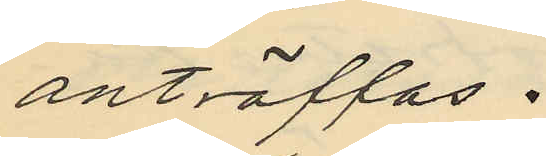anträffas.
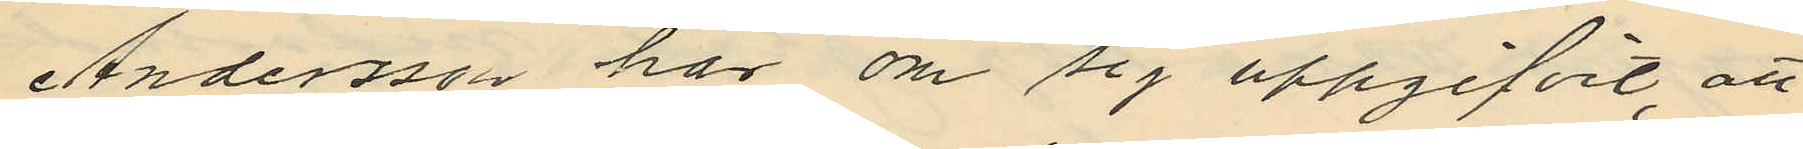Andersson har om sig uppgifvit, att
